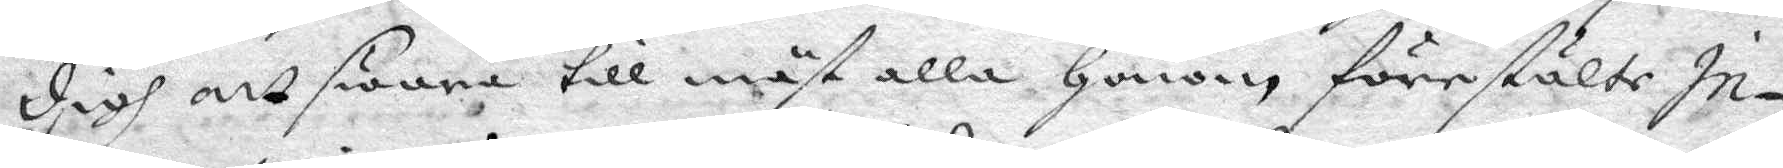digh att swara till mäst alla Honom förestälte In¬
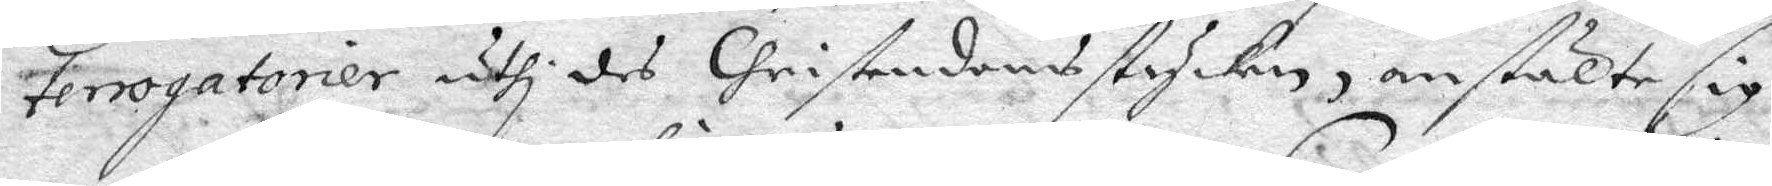tenogationer uthi des Christendoms stycken, anstälte sig
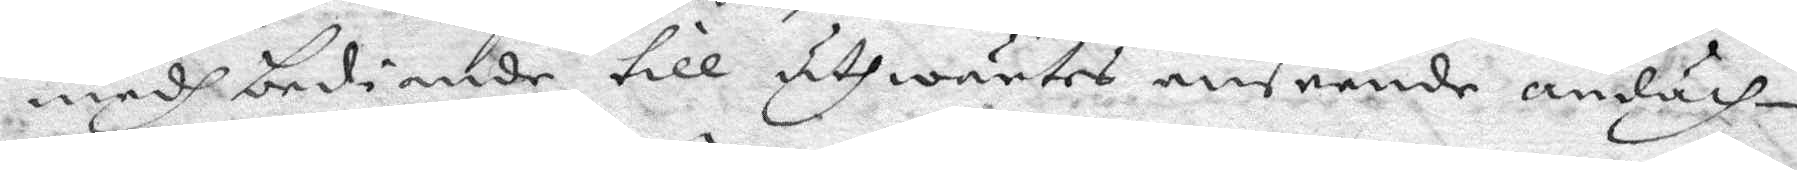medh bediande till uthwärtes anseende andäch¬
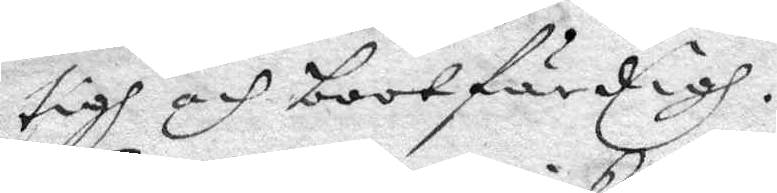tigh och bootfärdigh.
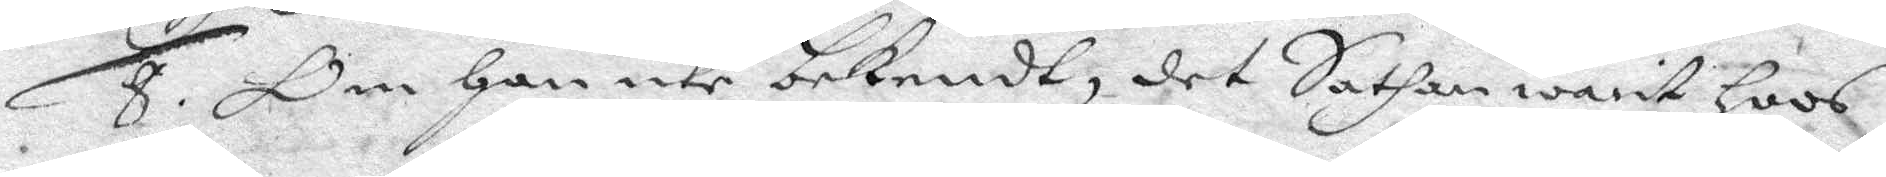8. Om Han icke bekednt, det Sathan warit Hoos
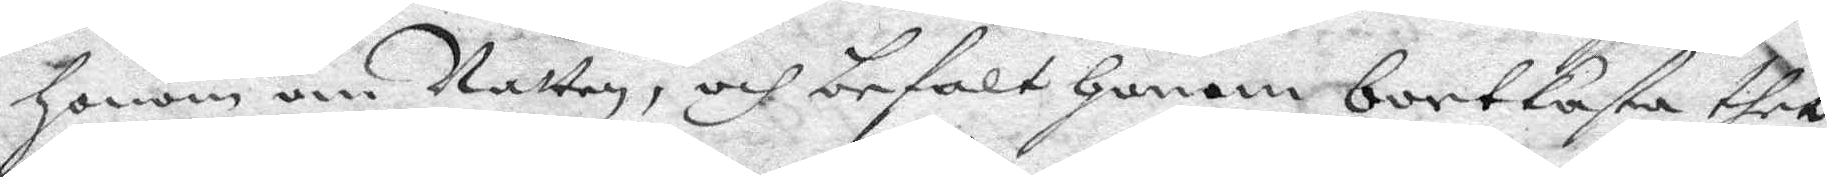Honom om Natten, och befalt Honom bortkasta thet
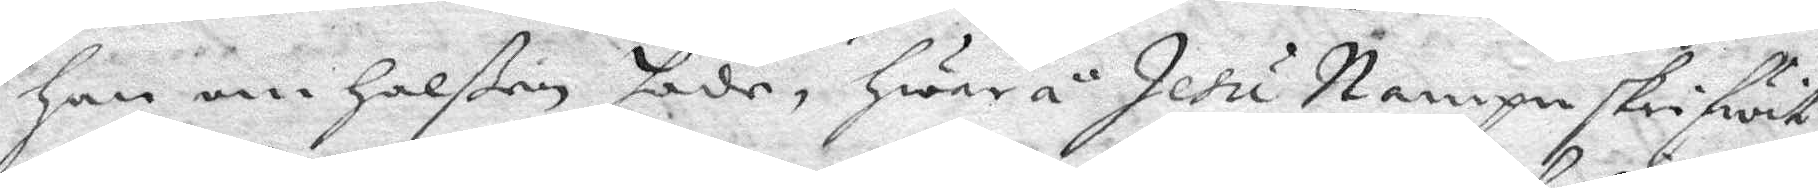Han om Halßen hade, Hwarå Jesu Nampn skriwit
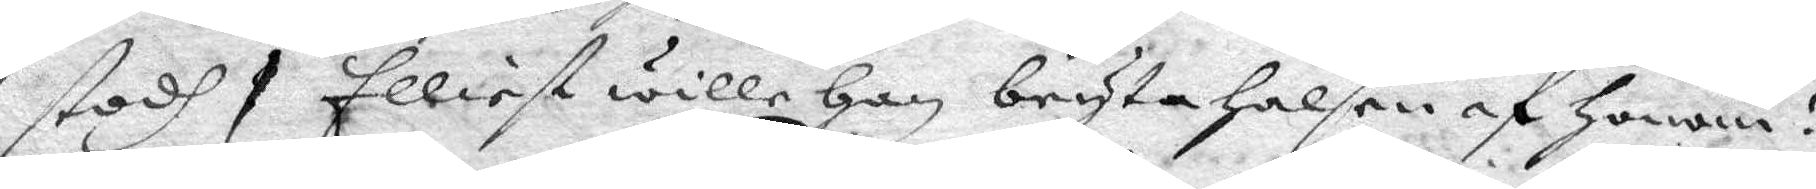stodh Elliest wille Han bryta Halsen af Honom?
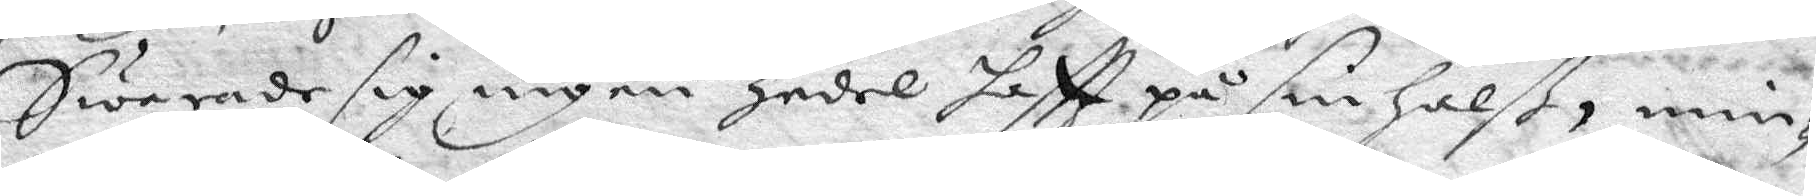Swarade sig ingen Zedel haftt på sin Halß, min¬
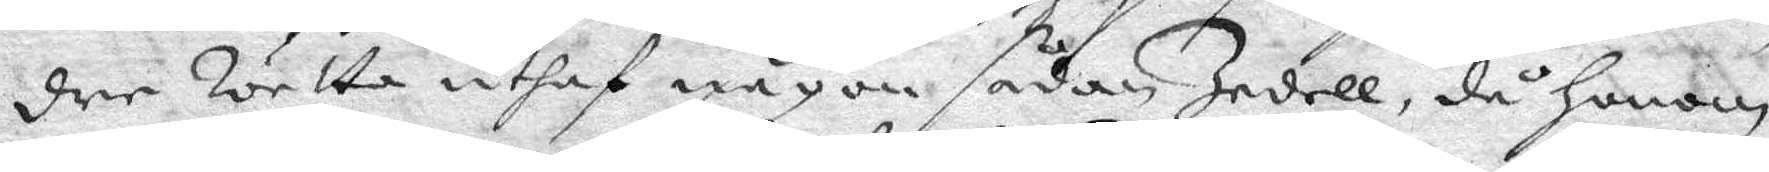dre Wetta uthaf någon sådan Zedell, då Honom
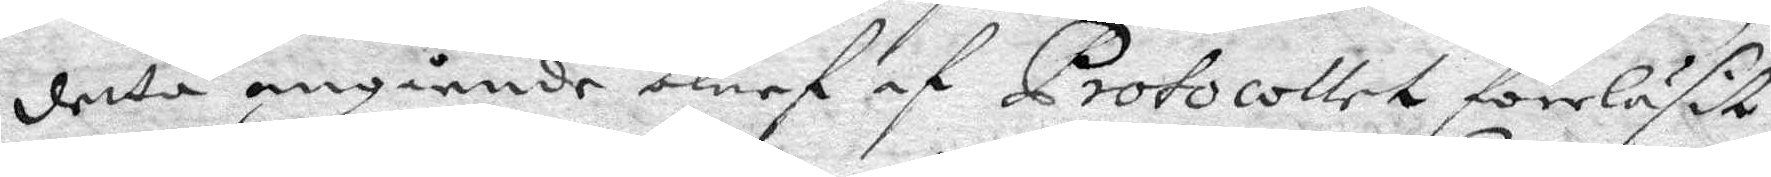detta angående blef af protocoller föreläsit
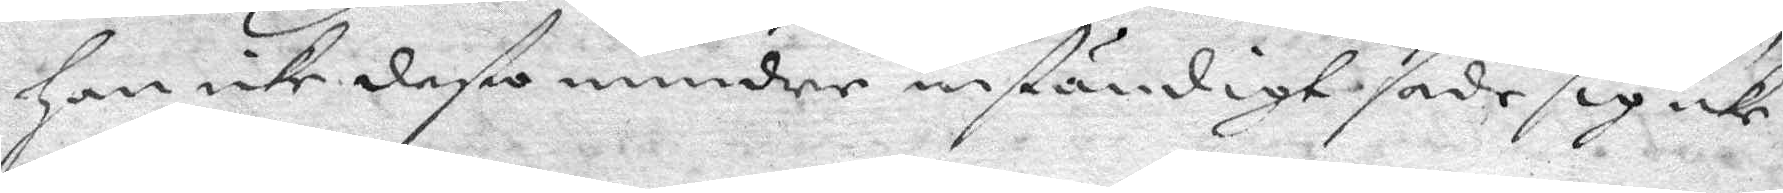Han icke desto mindre instndigt sade sig icke
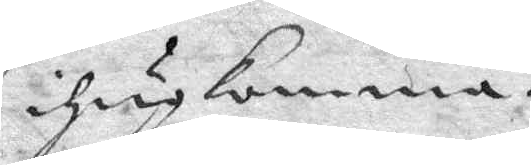ihågkomma.
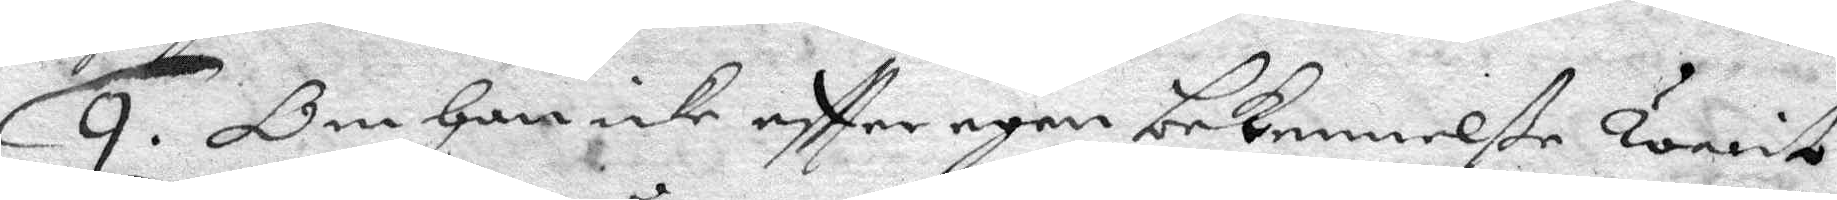9. Om Han icke eftter egen bekennelße warit
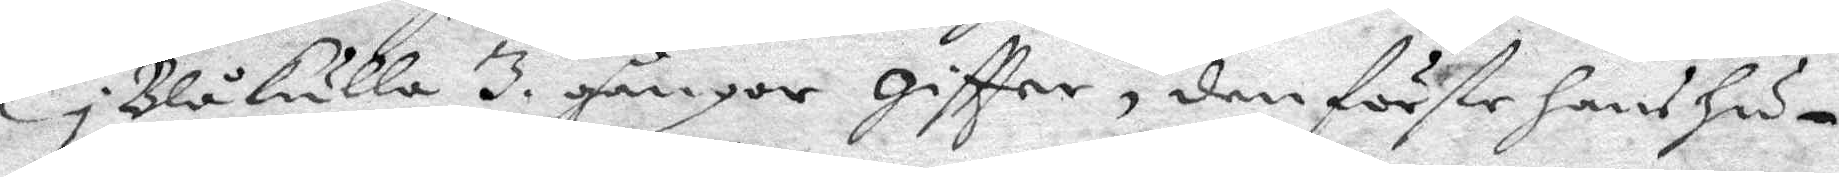i Blåkulla 3. gånger giftter, den förate hans Hu¬
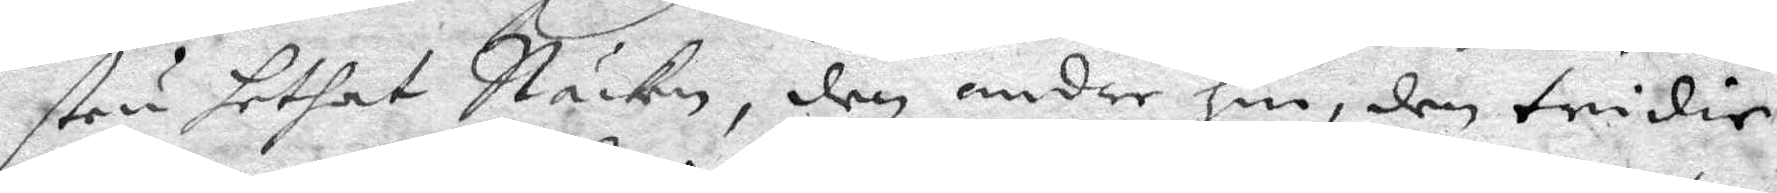stru hetat Näcken, den andre Hin, den tridie
